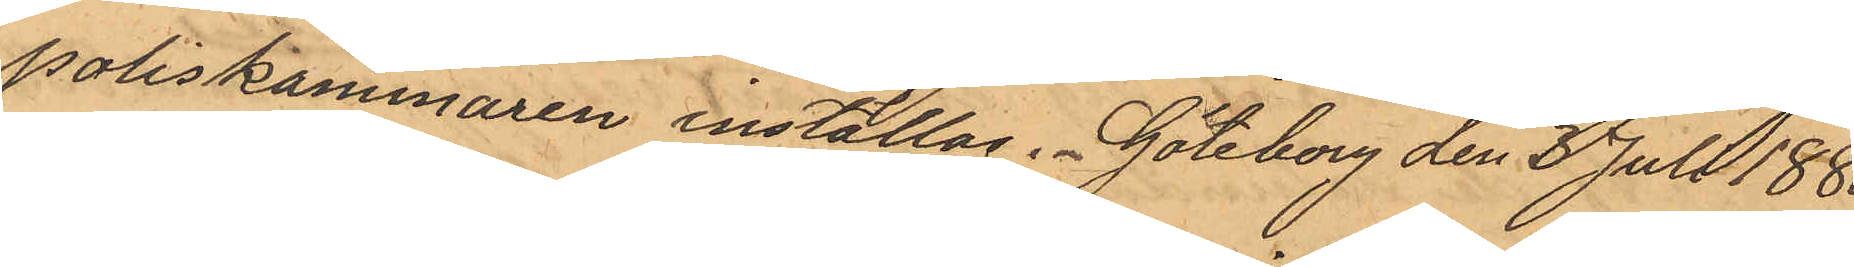Poliskammaren inställas. Göteborg den 3 Juli 1880
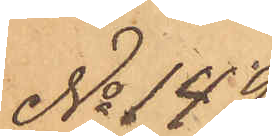No 149
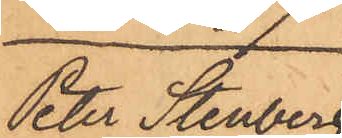Peter Stenberg
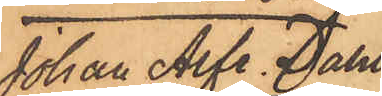Johan Alfr. Dahl¬
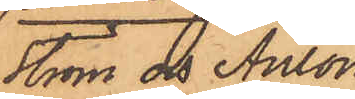ström och Anton
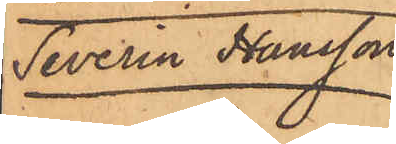Severin Hansson
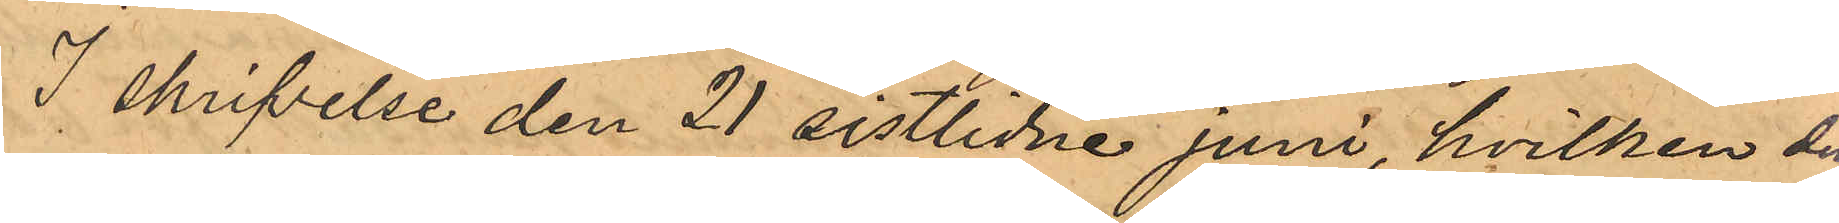I skrifvelse den 21 sistlidne juni, hvilken den
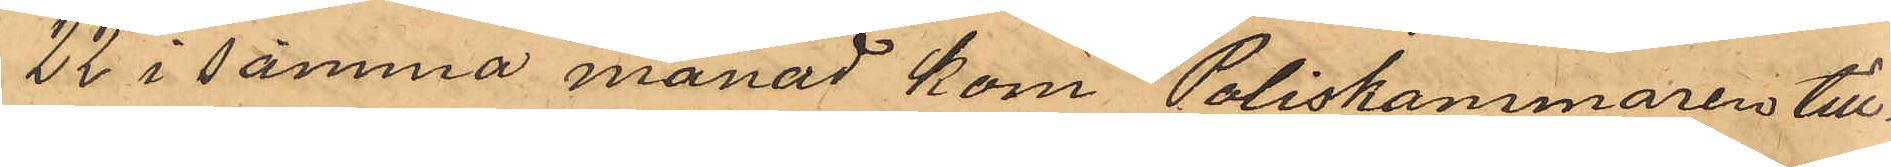22 i samma månad kom Poliskammaren till¬
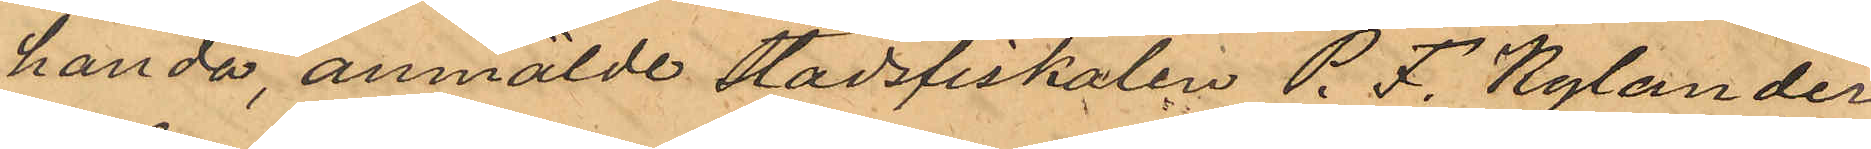handa, anmälde stadsfiskalen P. F. Kylander
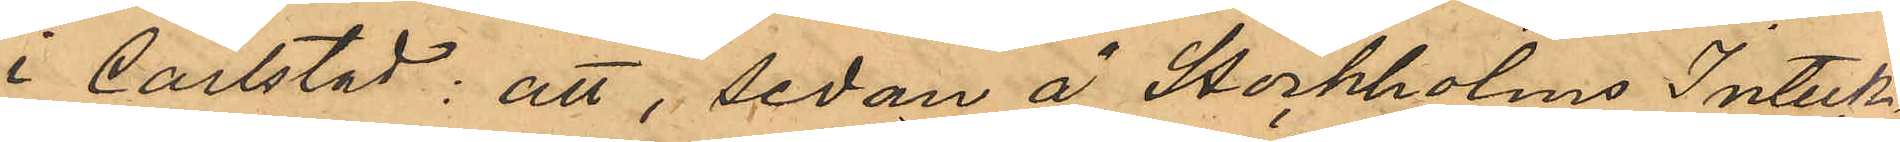i Carlstad: att, sedan å Stockholms Inteck¬
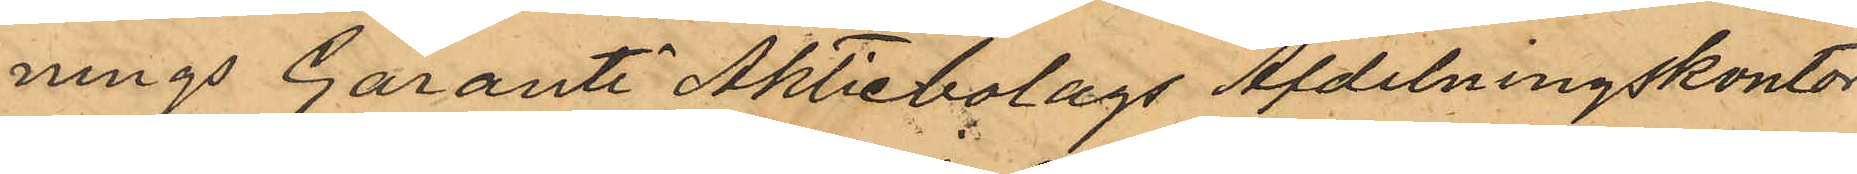nings Garanti Aktiebolags Afdelningskontor
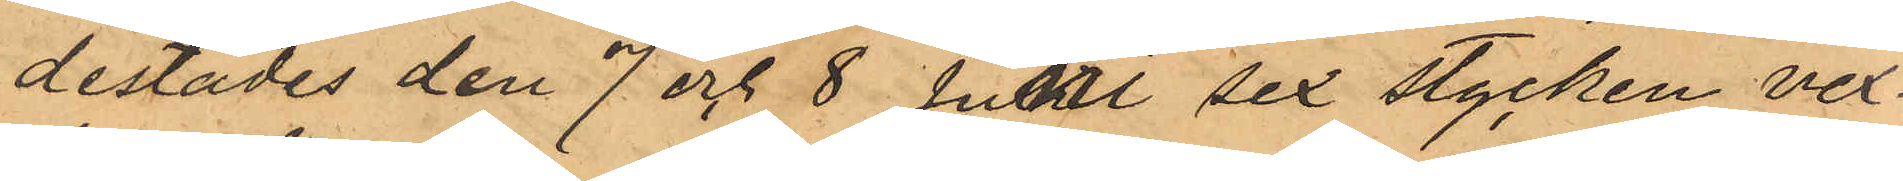derstädes den 7 och 8 Juni sex stycken vex¬
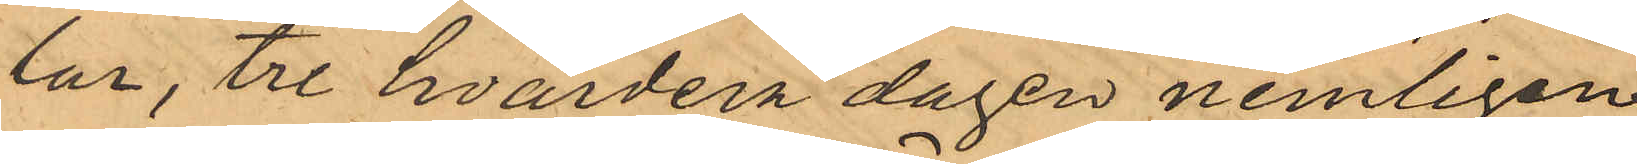lar, tre hvardera dagen nemligen
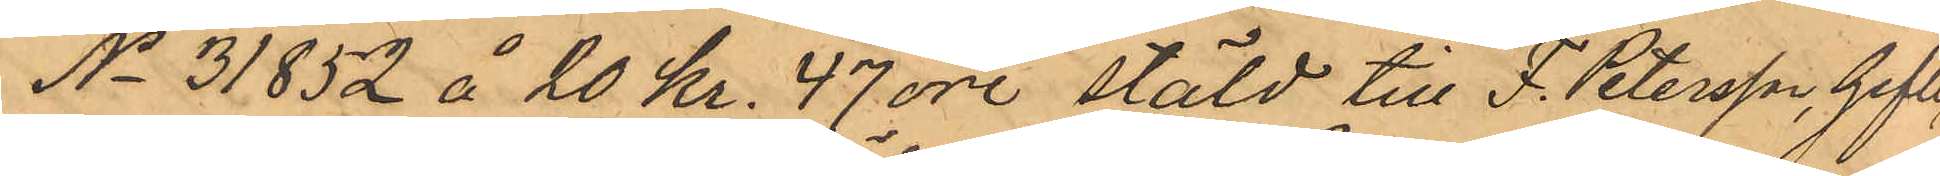No 31852 å 20 Kr. 47 öre stäld till F. Petersson, Gefle
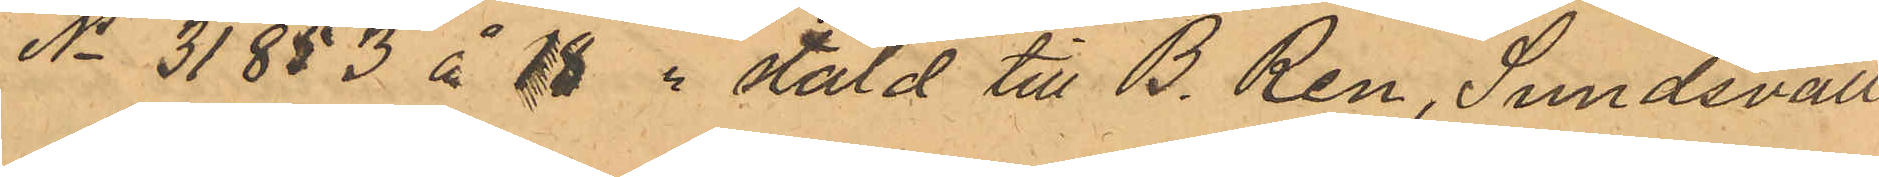No 31853 å 18 " stäld till B. Ren, Sundsvall.
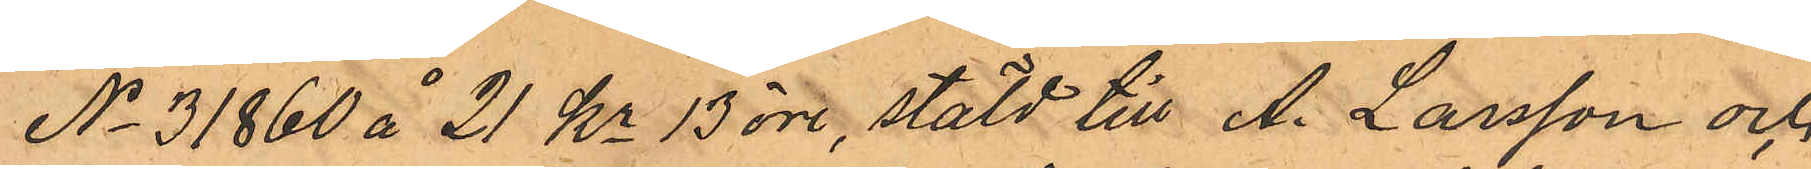No 31860 å 21 Kr 13 öre, stäld till A. Larsson och
